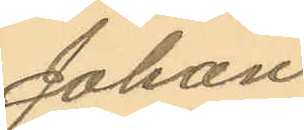Johan
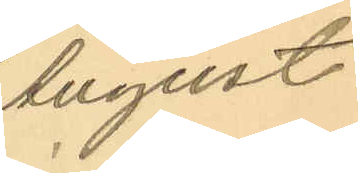August
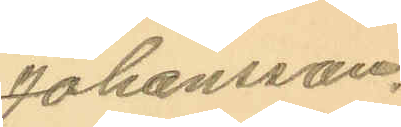Johansson.
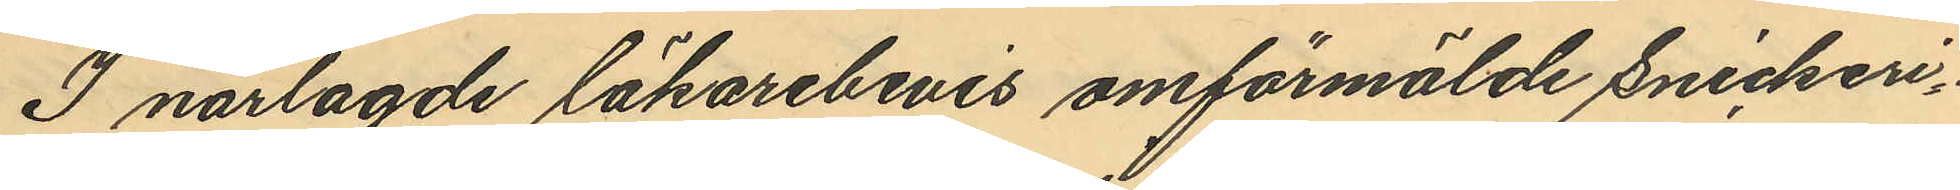I närlagde läkarebevis omförmälde Snickeri¬
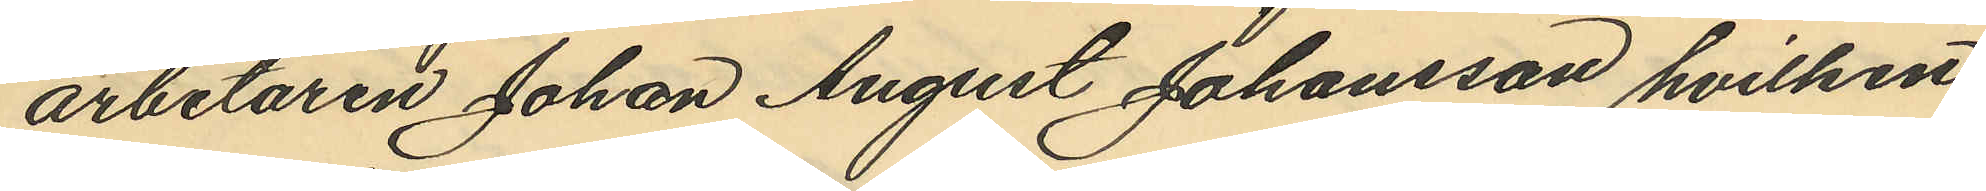arbetaren Johan August Johansson hvilken
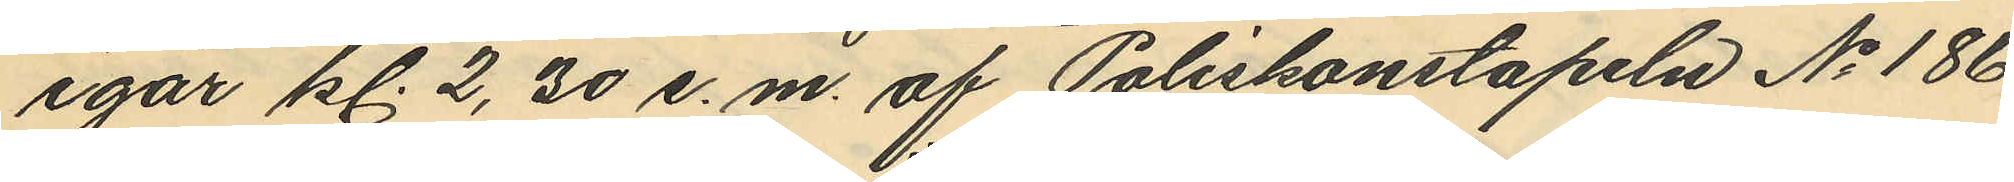igår kl. 2,30 e.m. af Poliskonstapeln No 186
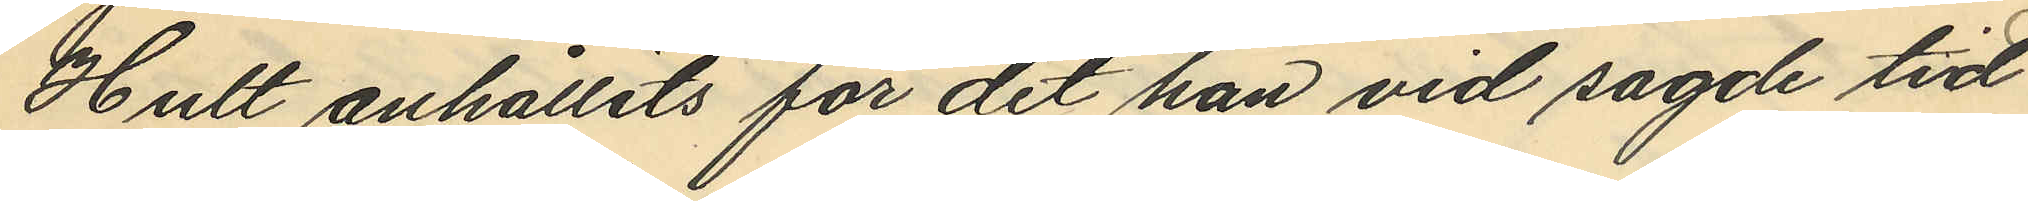Hult anhållits för det han vid sagde tid
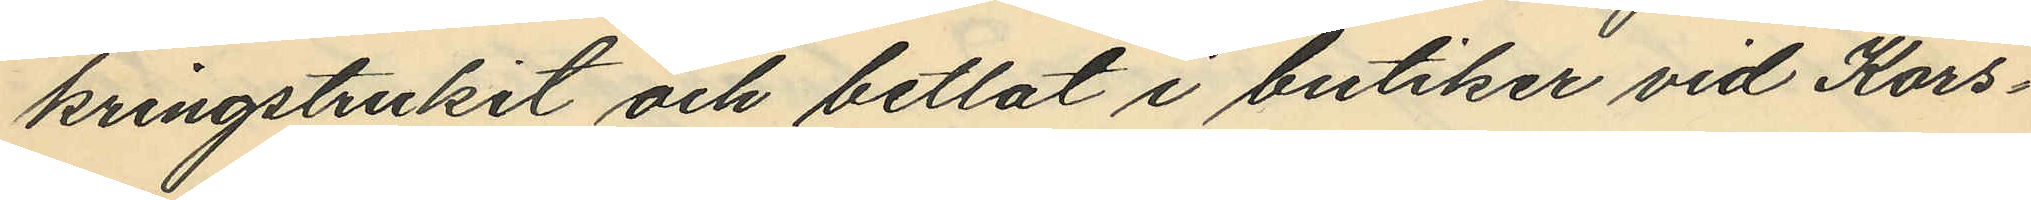kringstrukit och betlat i butiker vid Kors¬
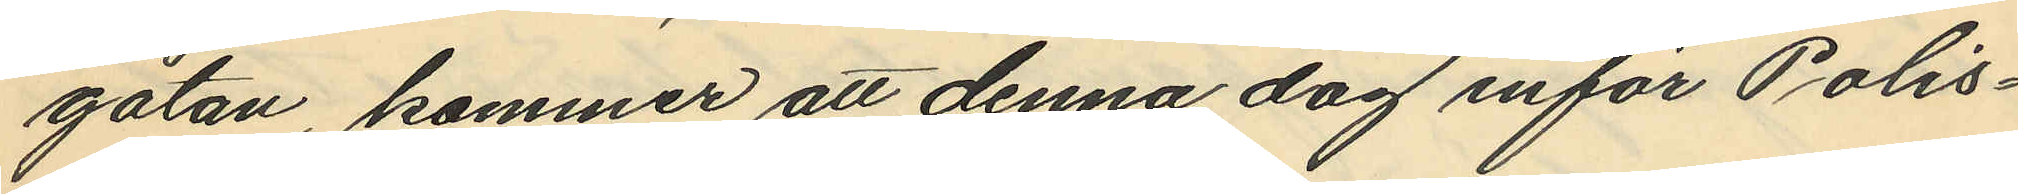gatan, kommer att denna dag inför Polis¬
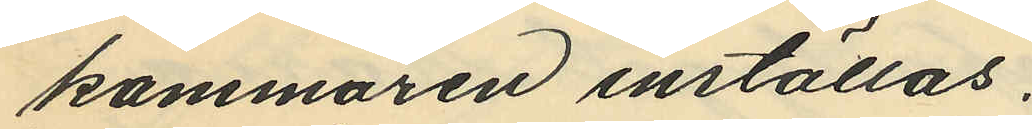kammaren inställas.
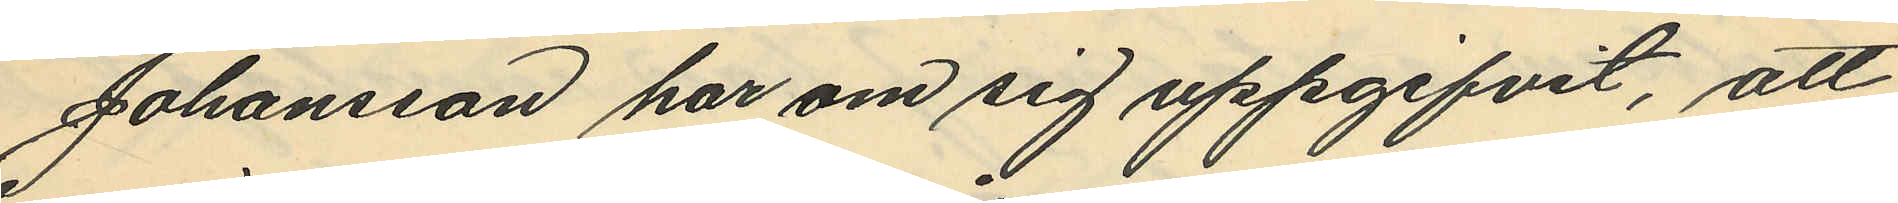Johansson har om sig uppgifvit, att
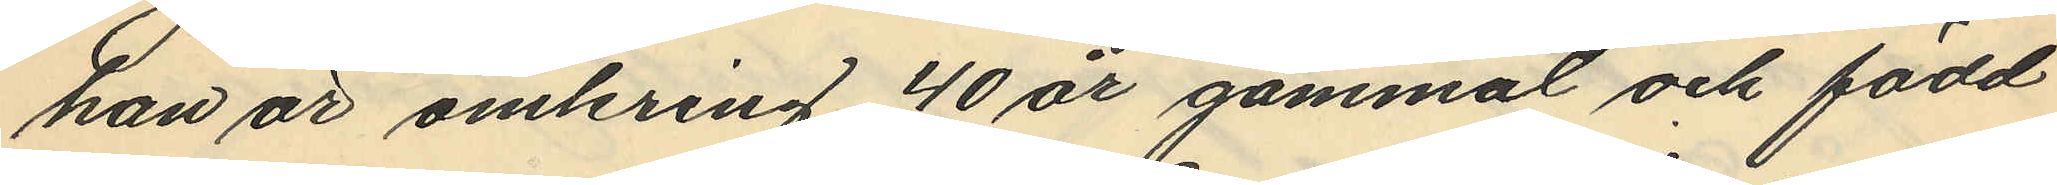han är omkring 40 år gammal och född
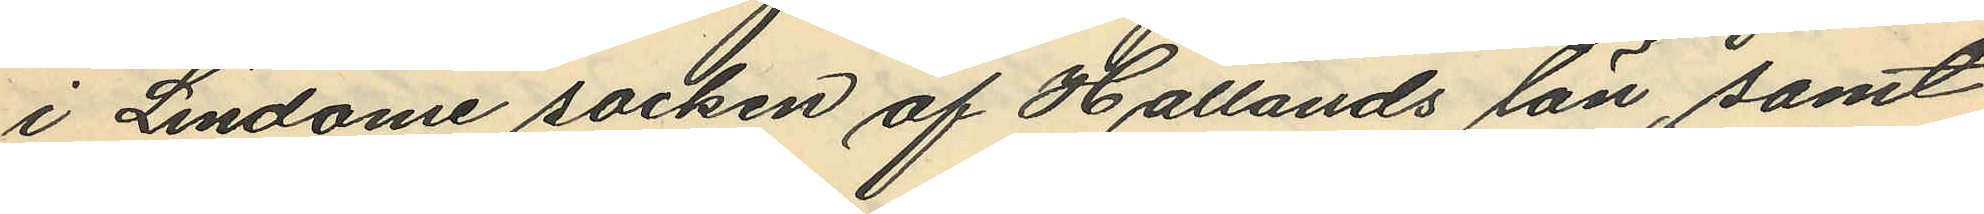i Lindome socken af Hallands län, samt
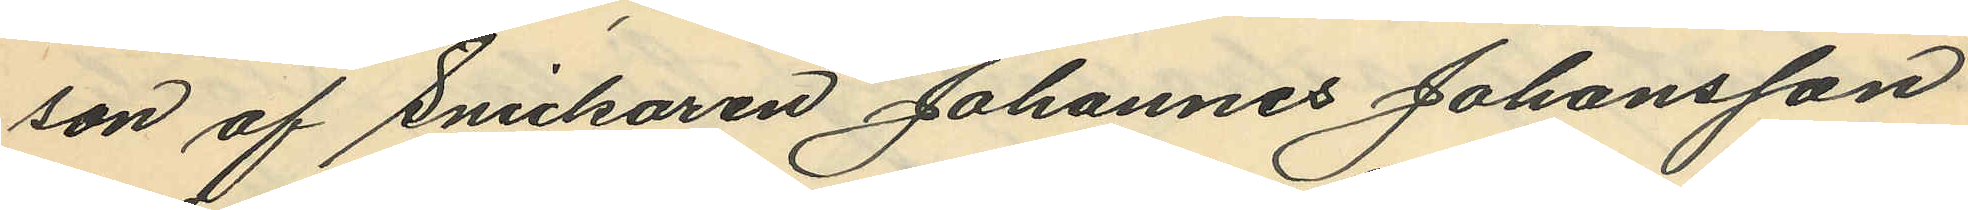son af Snickaren Johannes Johansson
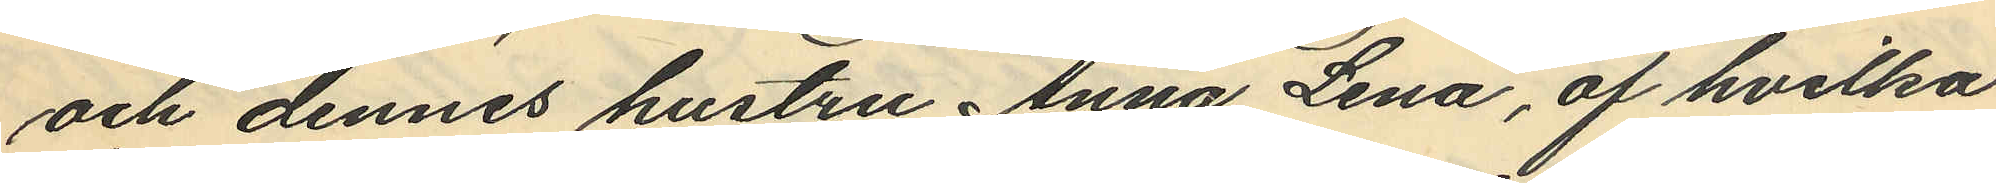och dennes hustru Anna Lena, af hvilka
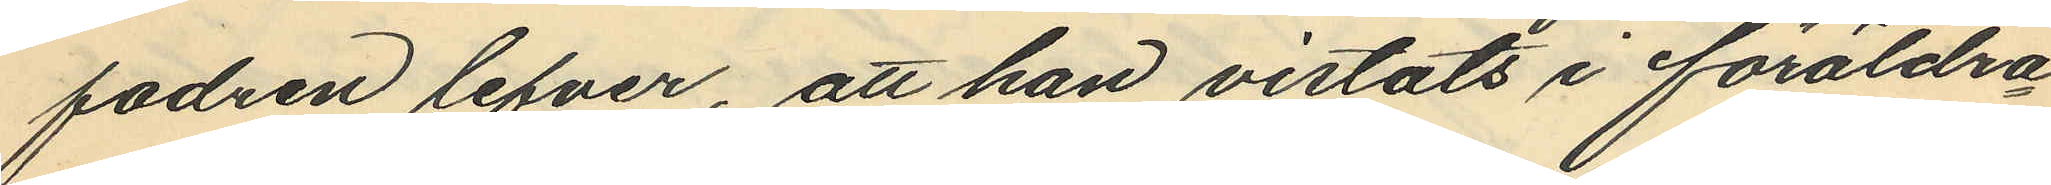fadren lefver, att han vistats i föräldra¬
